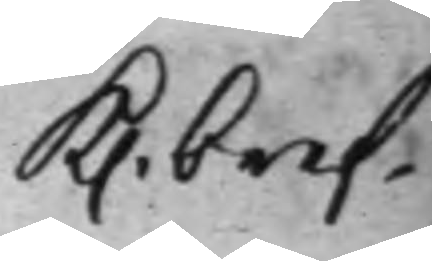K. bref.
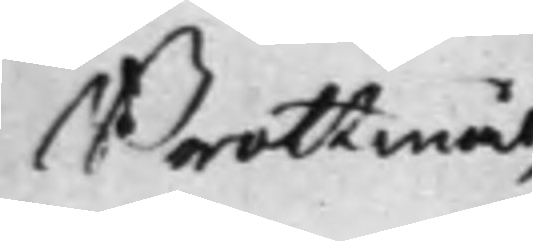Brottmål
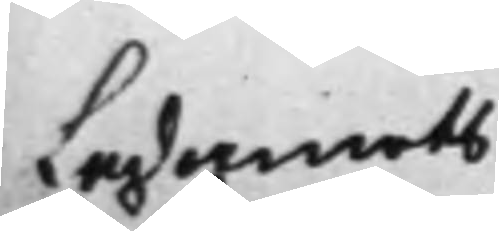Ledamots
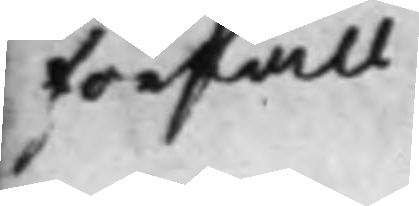förfall.
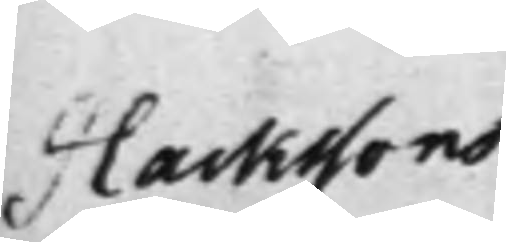Hackssons
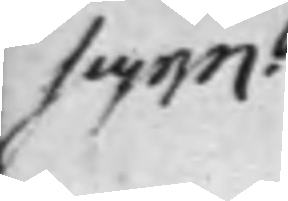supp.
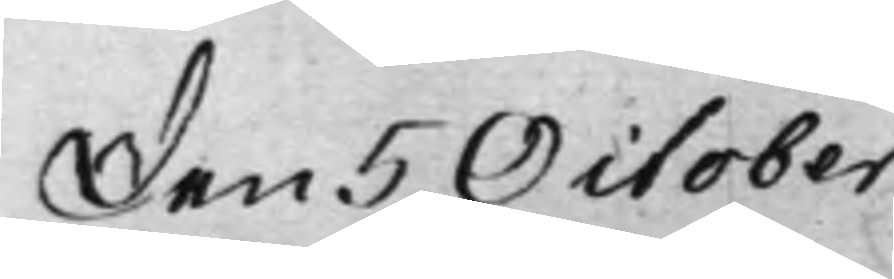Den 5 October
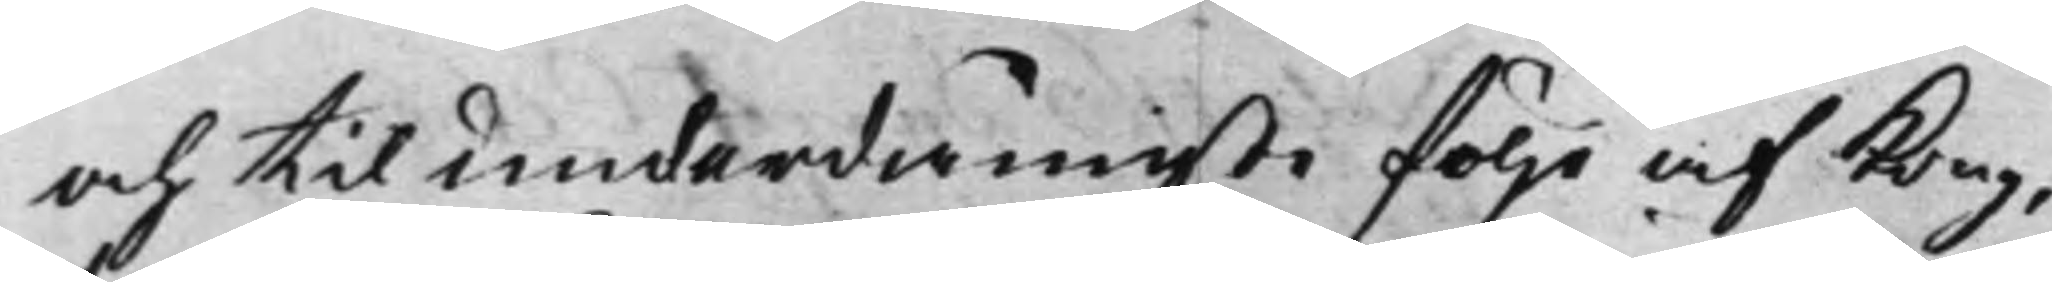och til underdånigste följe af Kong.
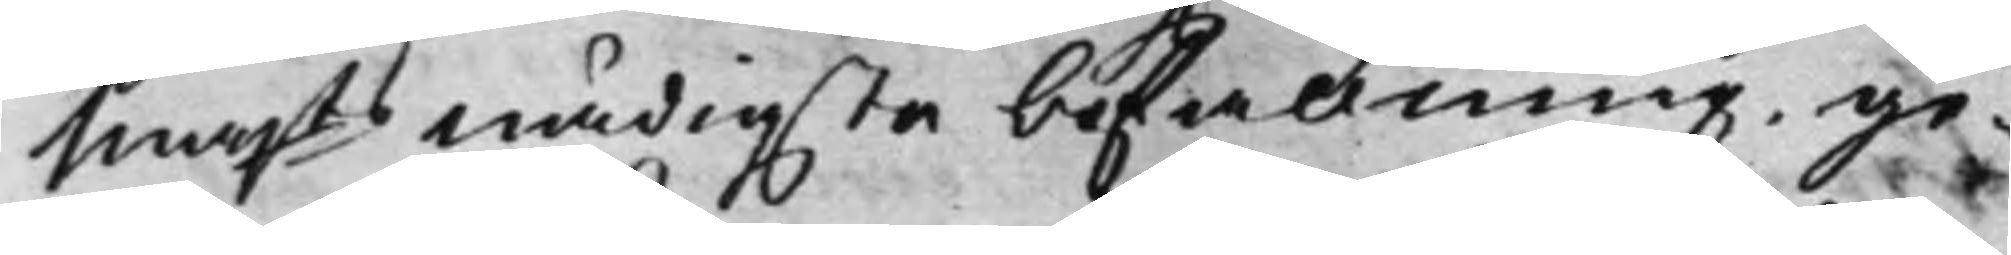Majts nådigste befallning, ge¬
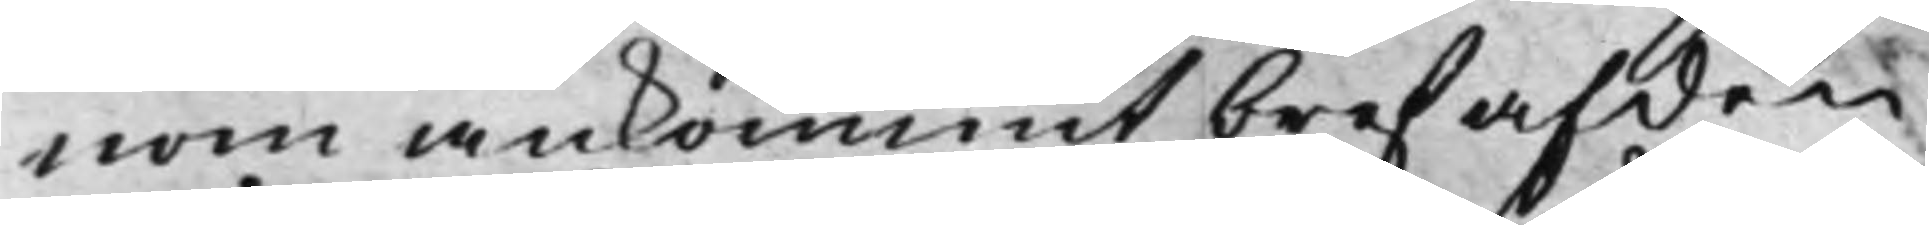nom ankommit bref af den
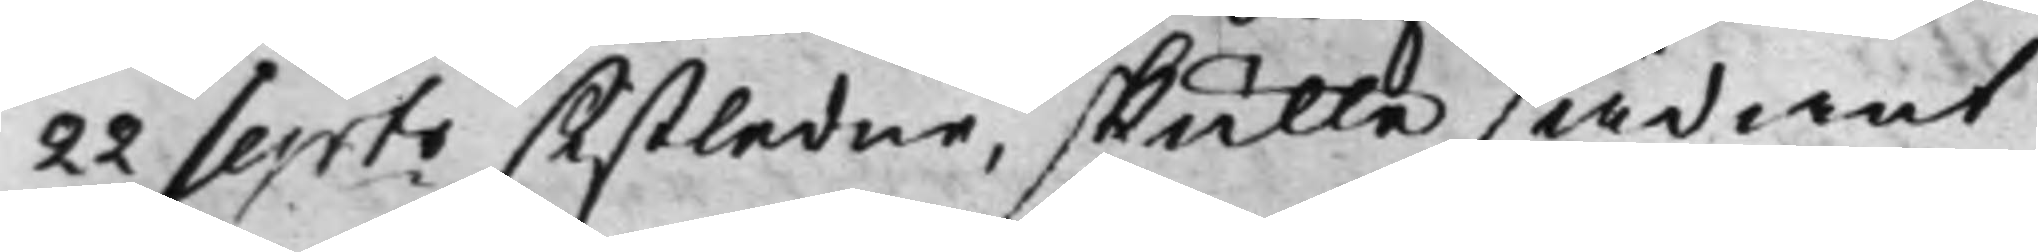22 Septr sistledne, skulle sådant
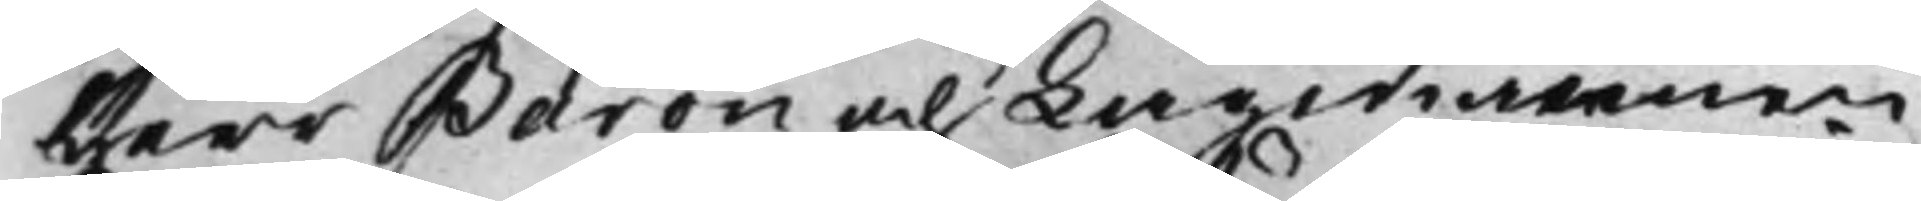Herr Baron och Lagmannen
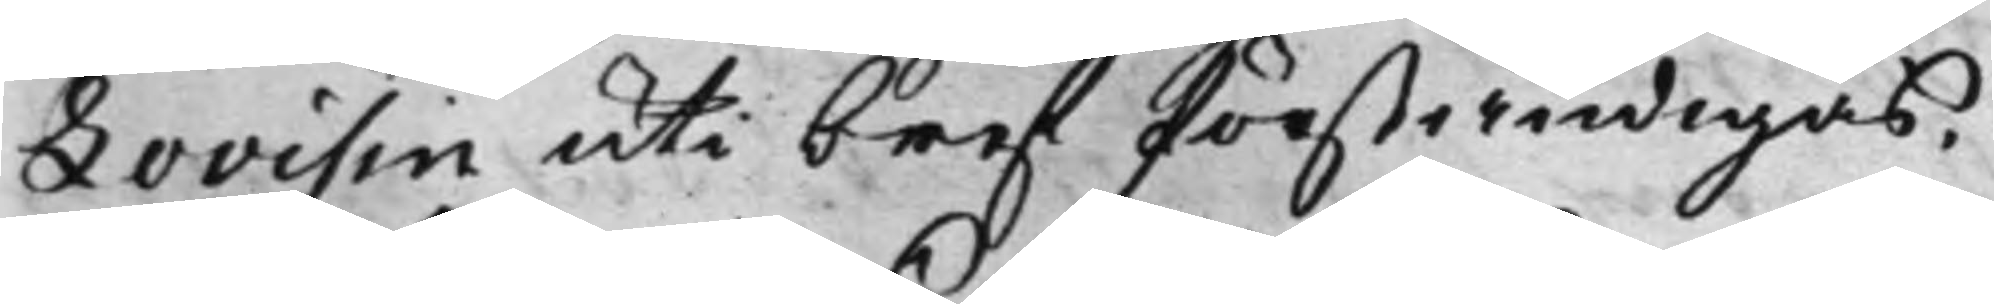Lovisin uti bref förständigas.
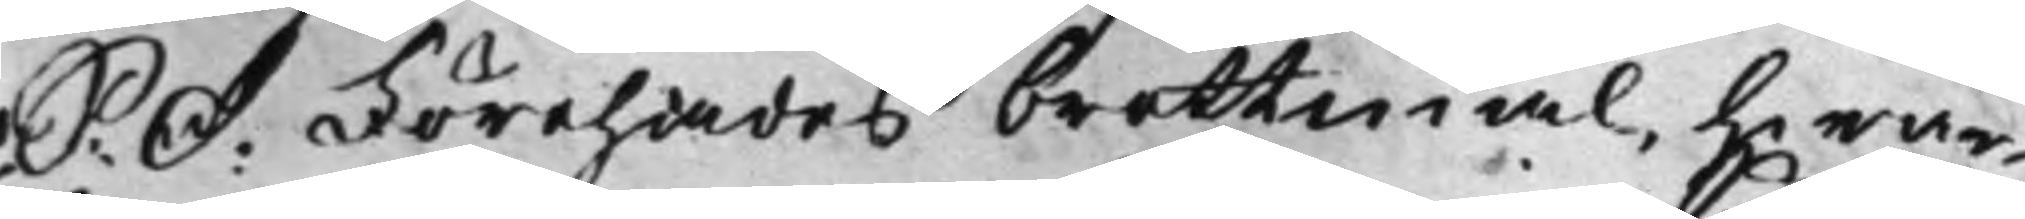S: D: Förehades brottmål, hwar¬
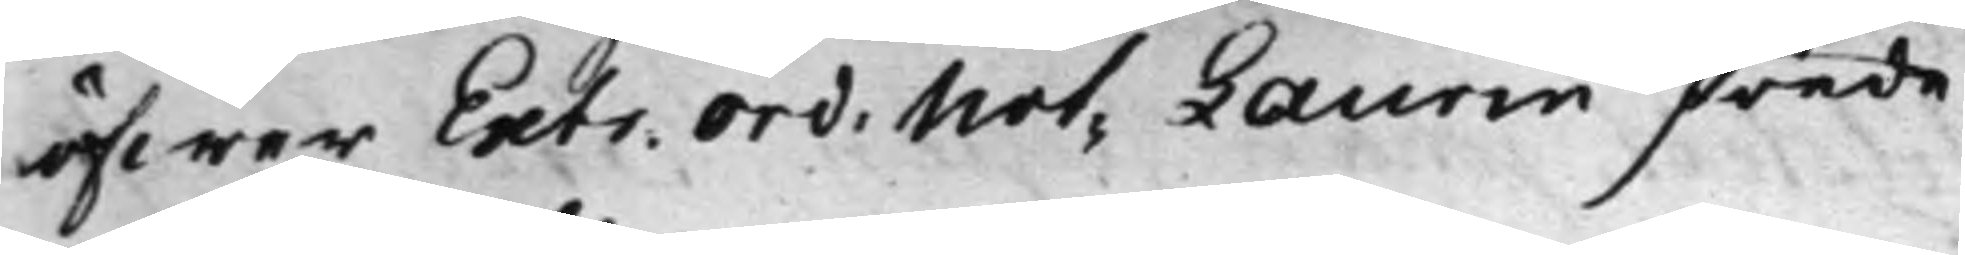öfwer Extr. Ord: Not: Laurin förde
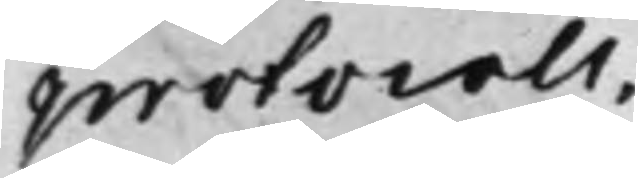protocoll.
